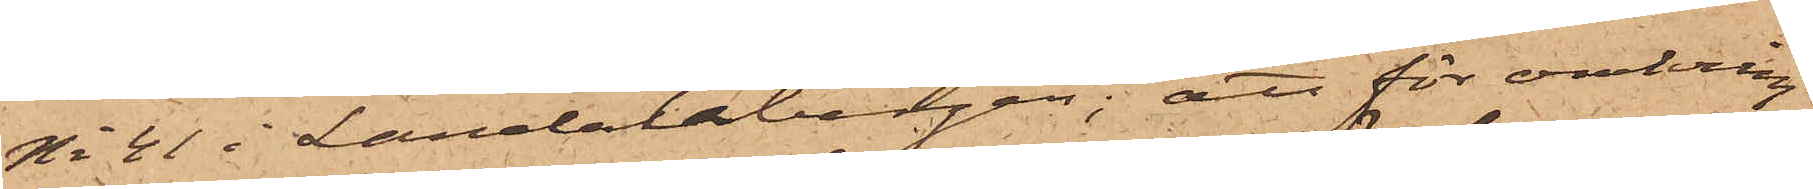No 41 i Landalabergen; att för omkring
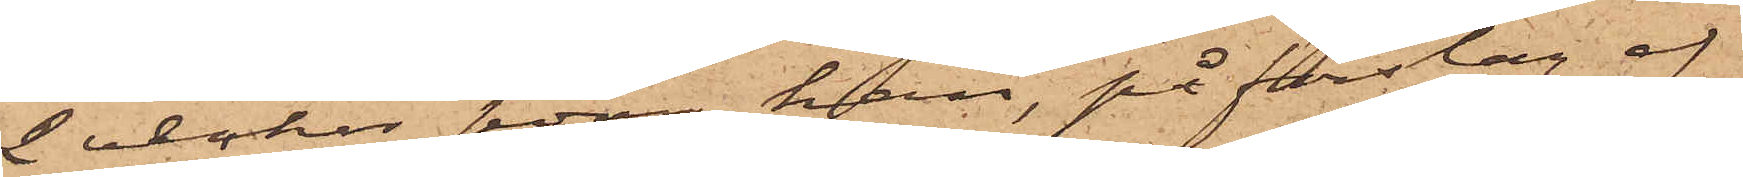2 veckor sedan han, på förslag af
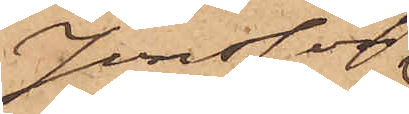Jonsson
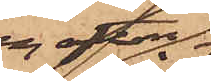en afton
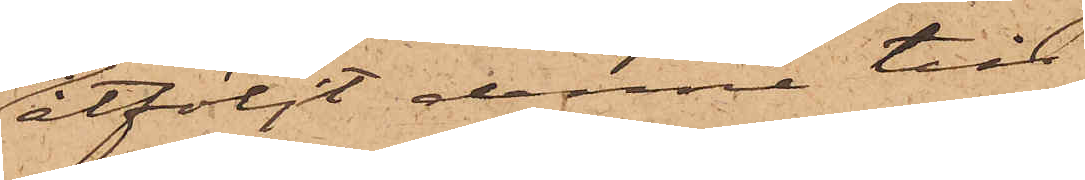åtföljt denne till
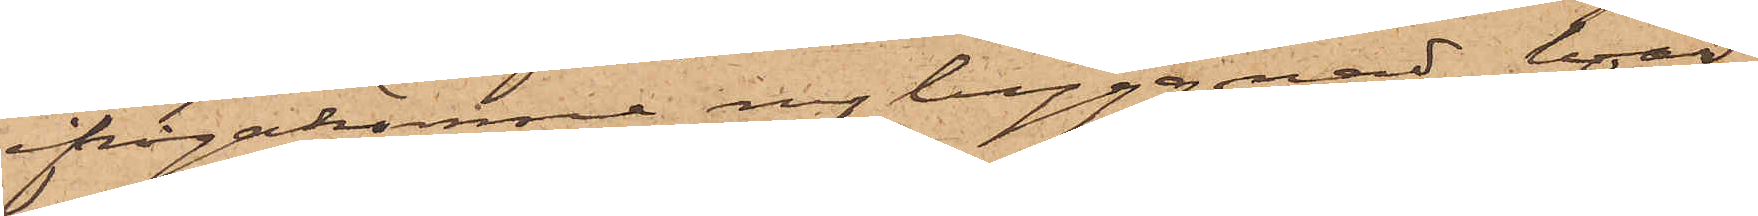ifrågakomne nybyggnad, hvar¬
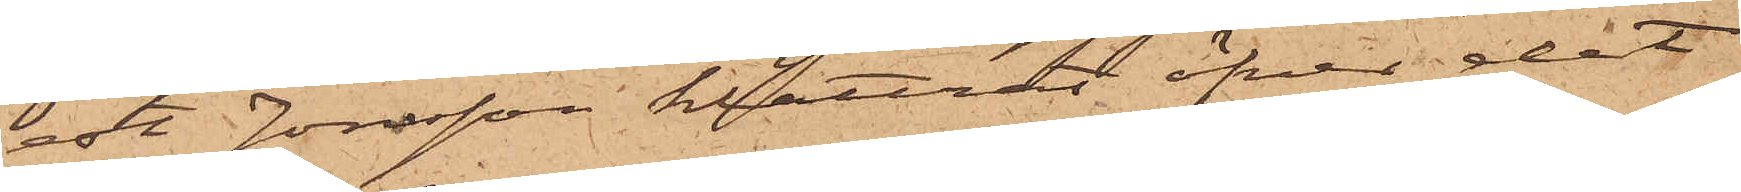est Jonsson klättrat öfver det
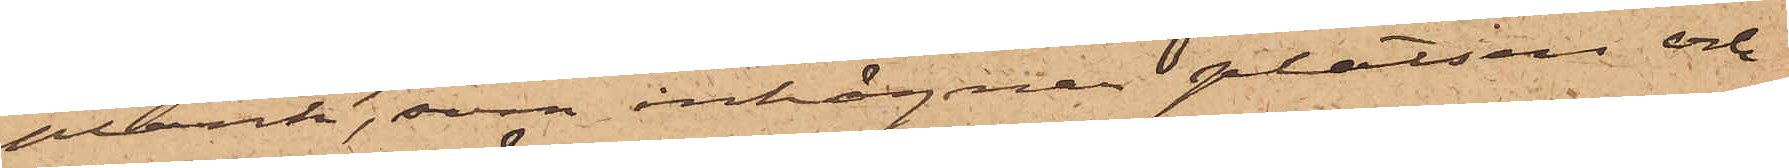plank, som inhägnar platsen och
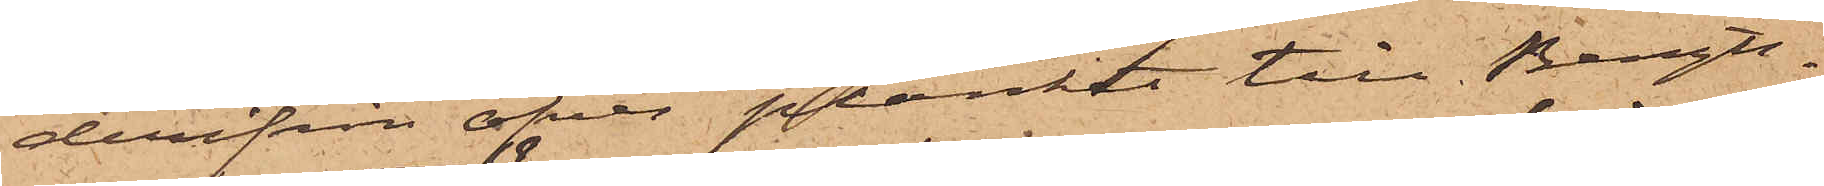derifrån öfver planket till Bengts¬
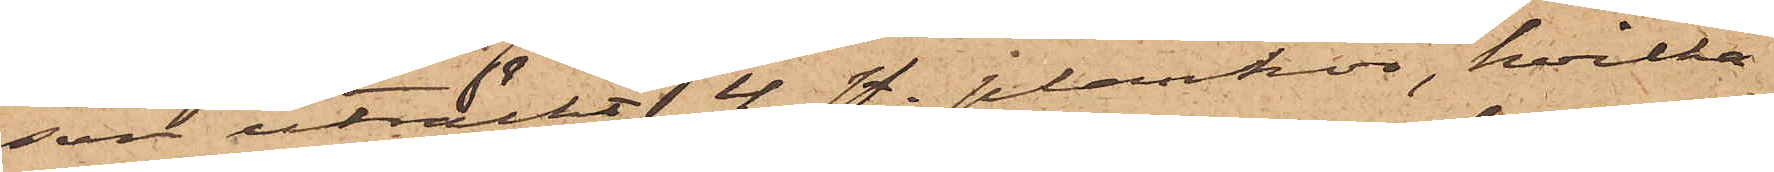son uträckt 4 st. plankor, hvilka
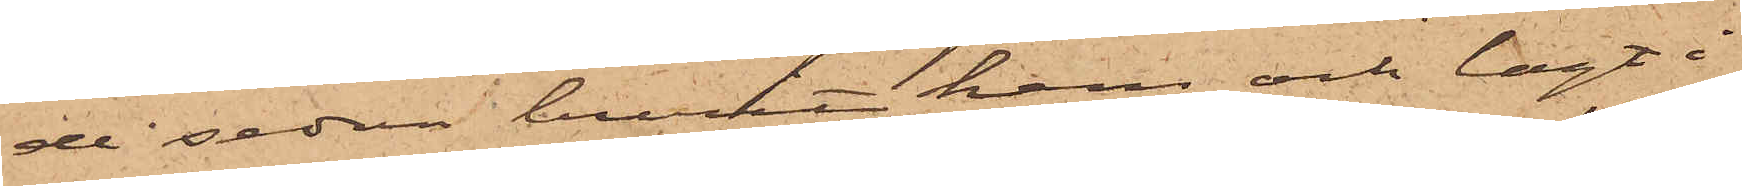de sedan burit hem och lagt i
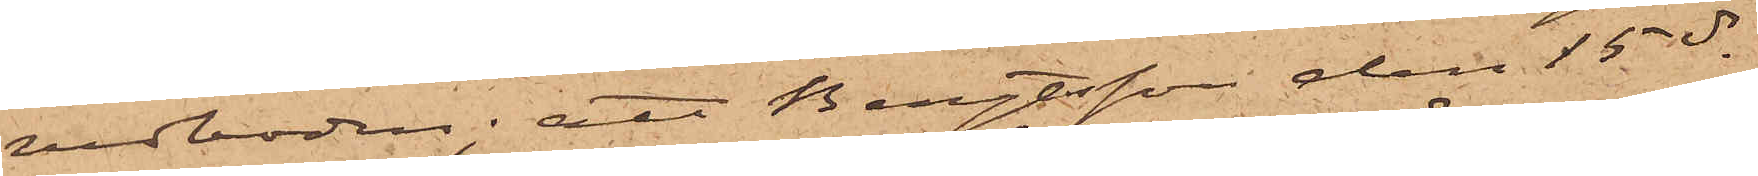vedboden; att Bengtsson den 15 ds
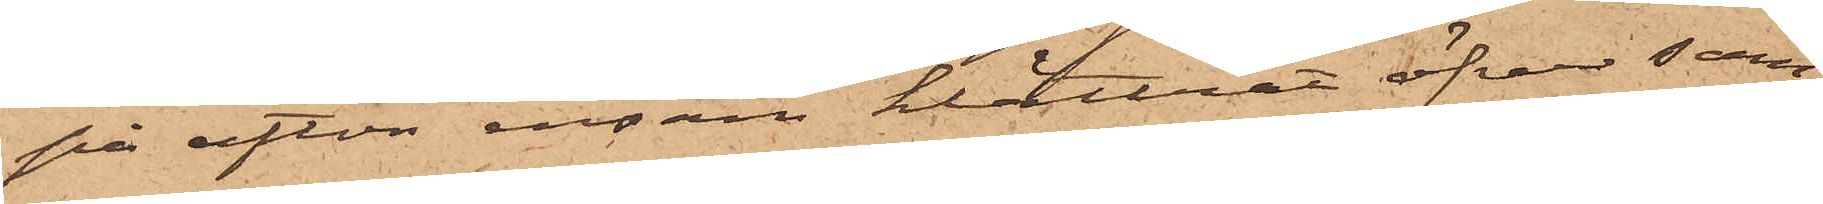på afton ensam klättrat öfver sam¬
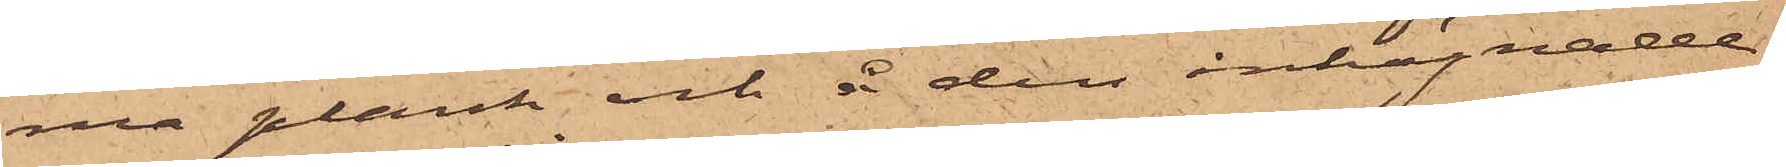ma plank och å den inhägnade
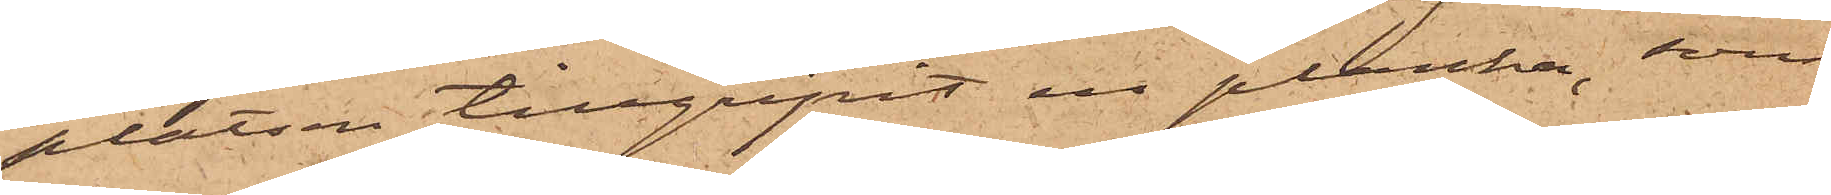platsen tillgripit en planka, som
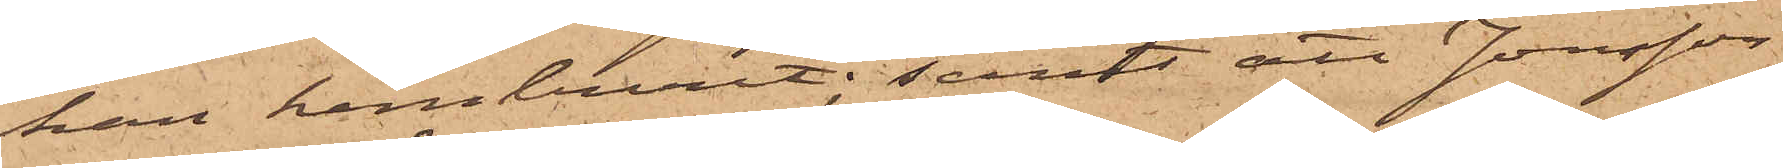han hemburit; samt att Jonsson
